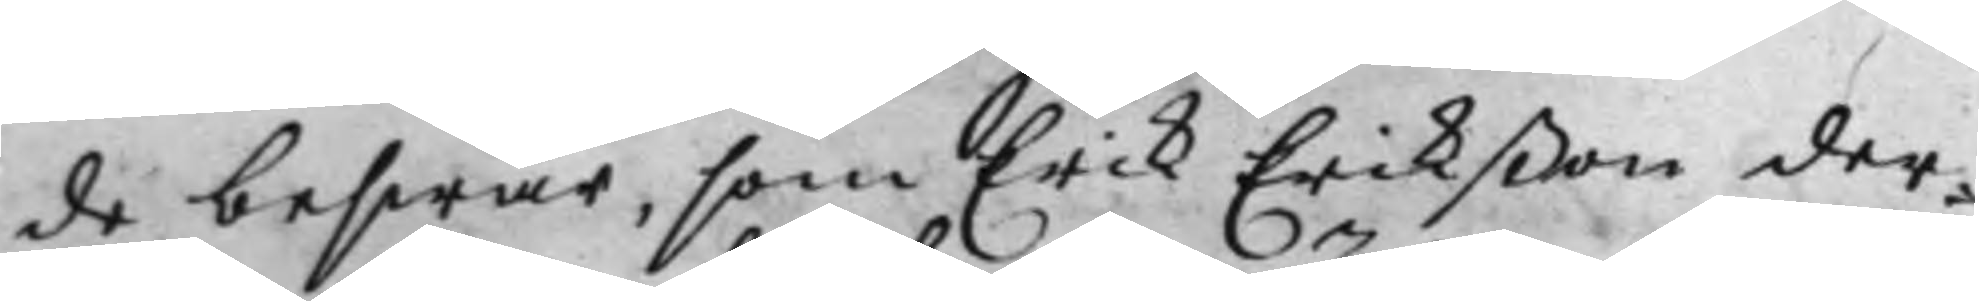de beswär, som Erik Erikßon der¬
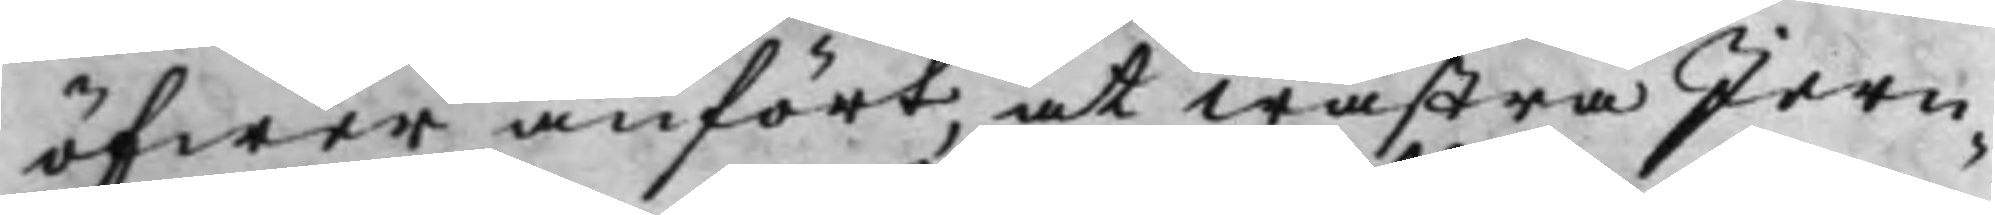öfwer anfört, at Wästra Jern¬
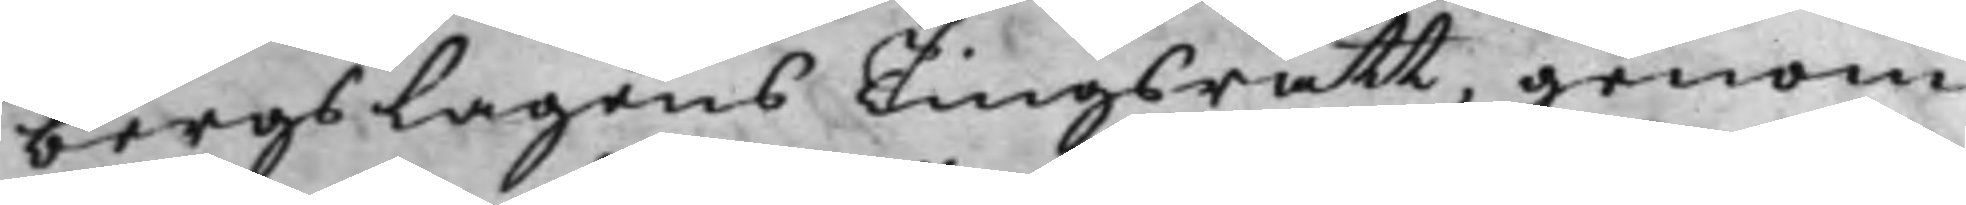bergslagens Tingsrätt, genom
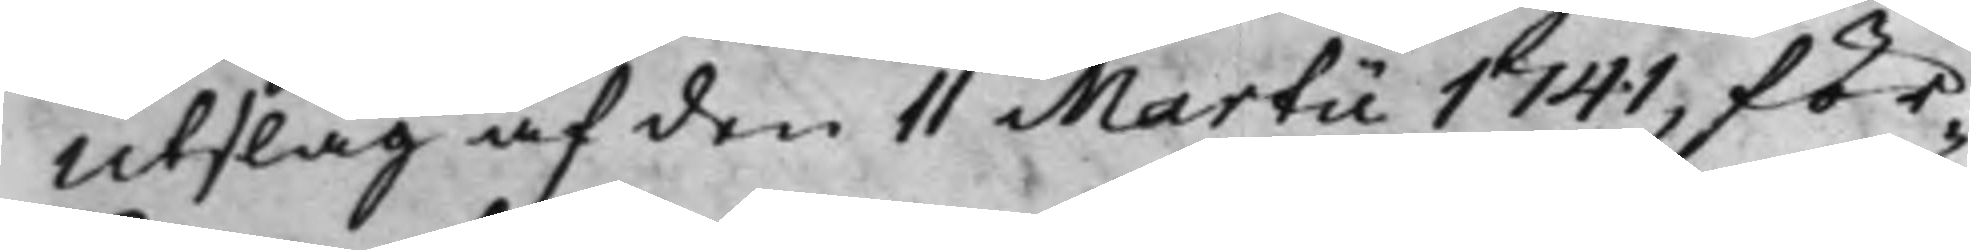Utslag af den 11 Martii 1741, för¬
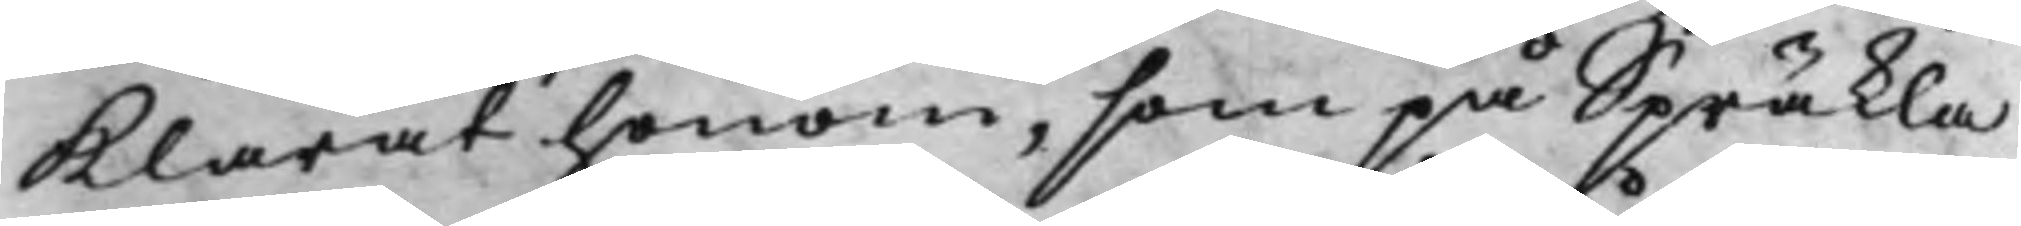Klarat honom, som på Spräkla
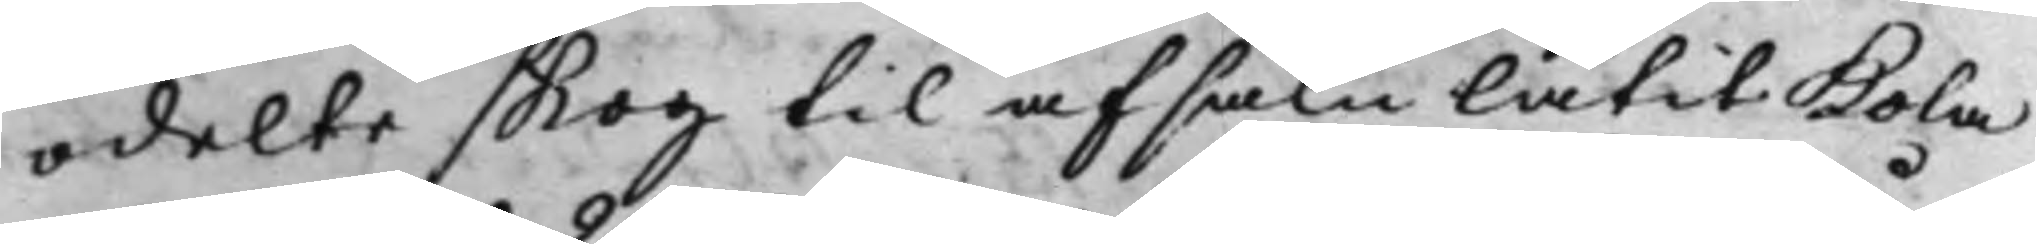odelte skog til afsalu låtit Kola
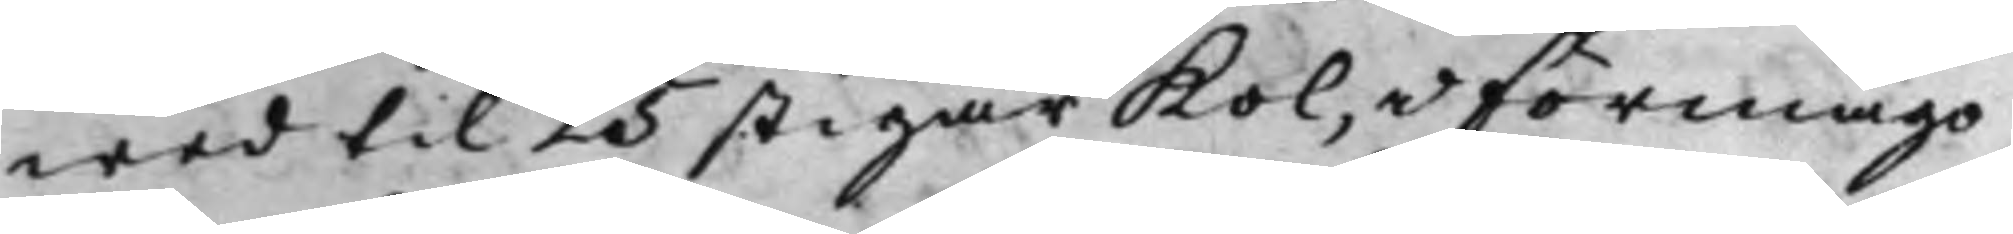wed til 25 stigar Kol, i förmågo
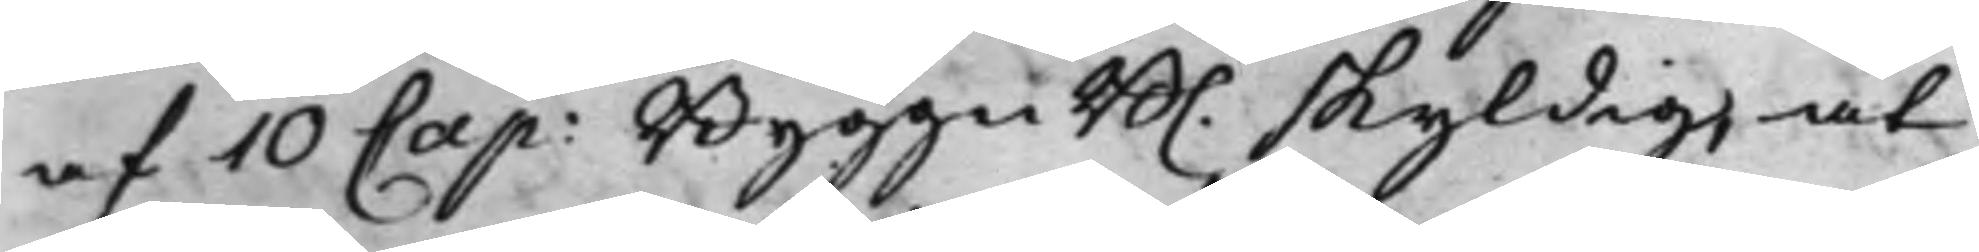af 10 Cap: Byggn B. skyldig, at 
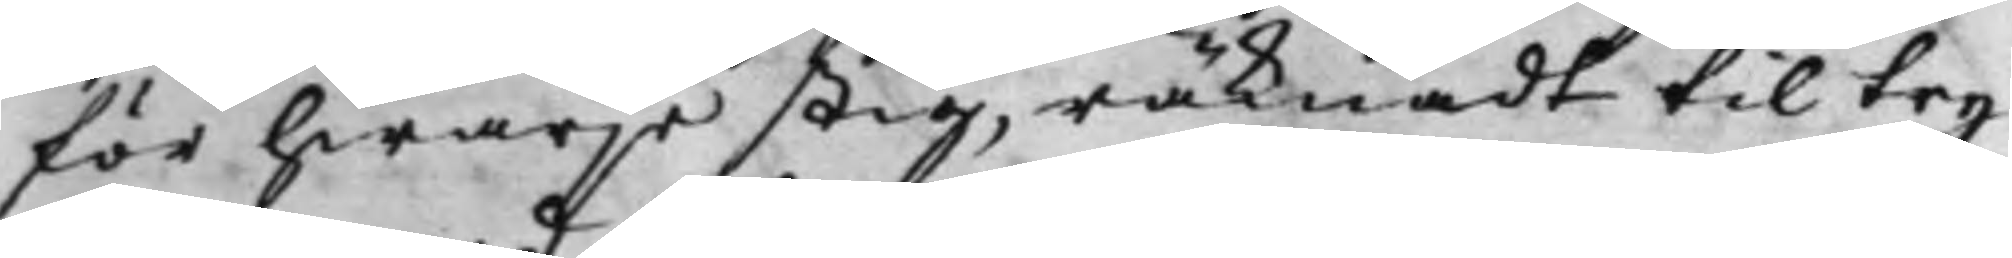för hwarje stig, räknadt til try
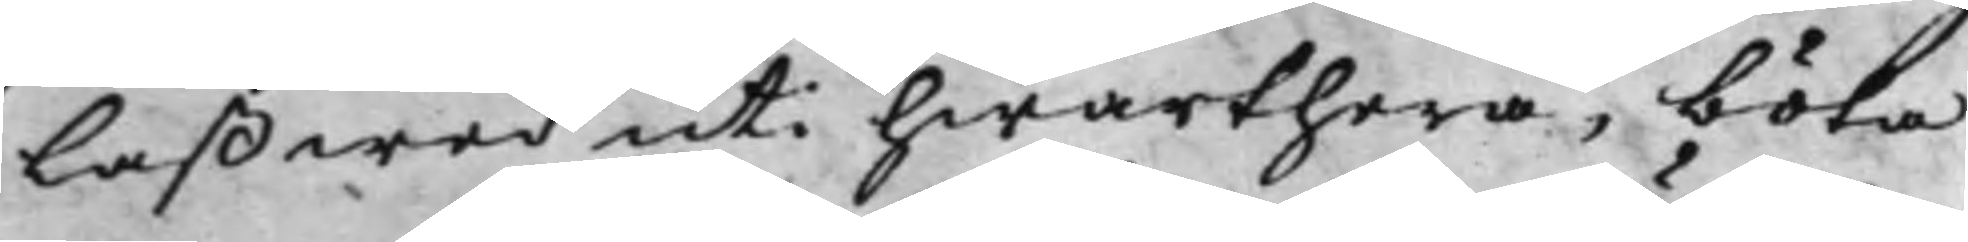laß wed uti hwarthera, böta
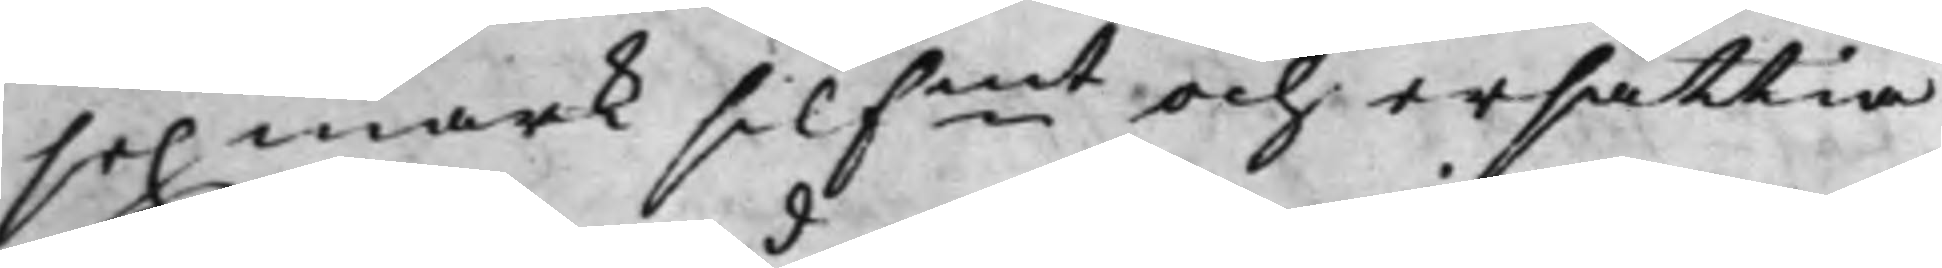sex mark silfmt och ersättia 
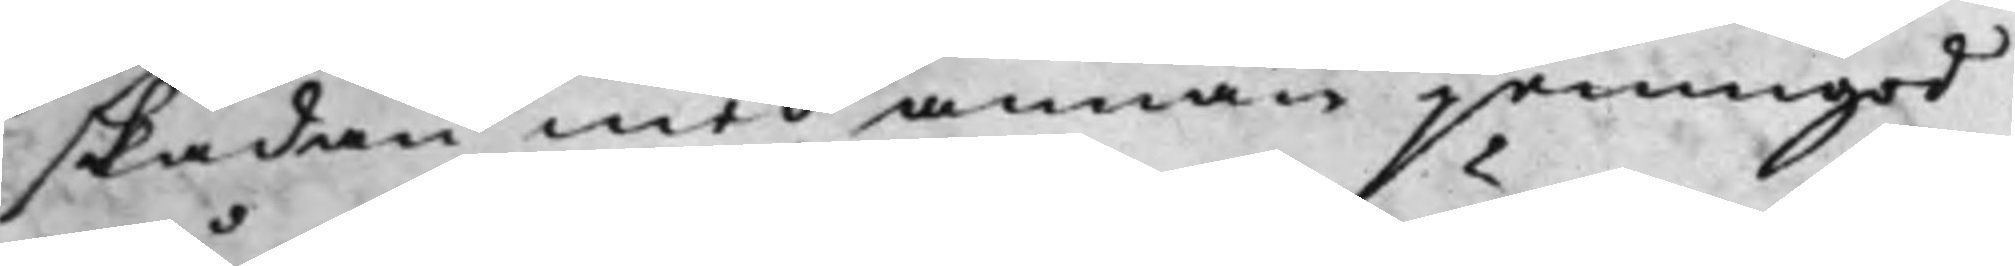skadan med annan jemngod
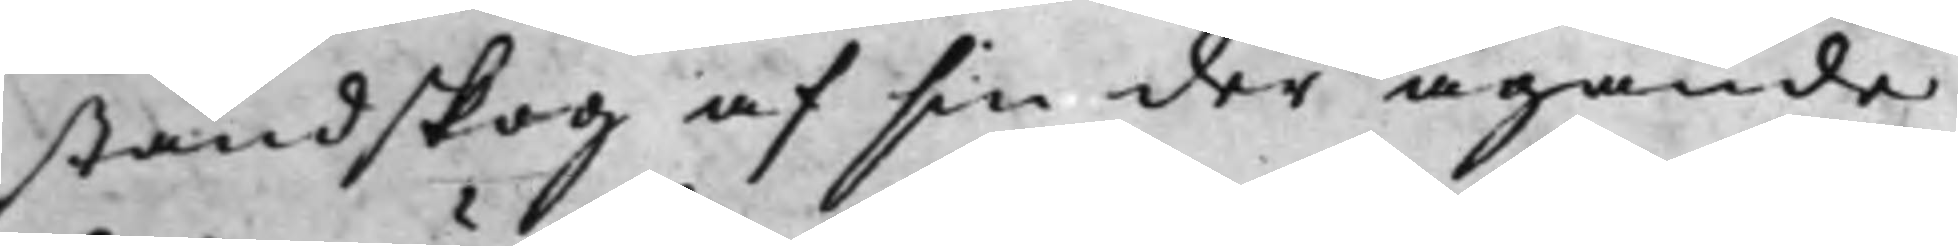ståndskog af sin der ägande
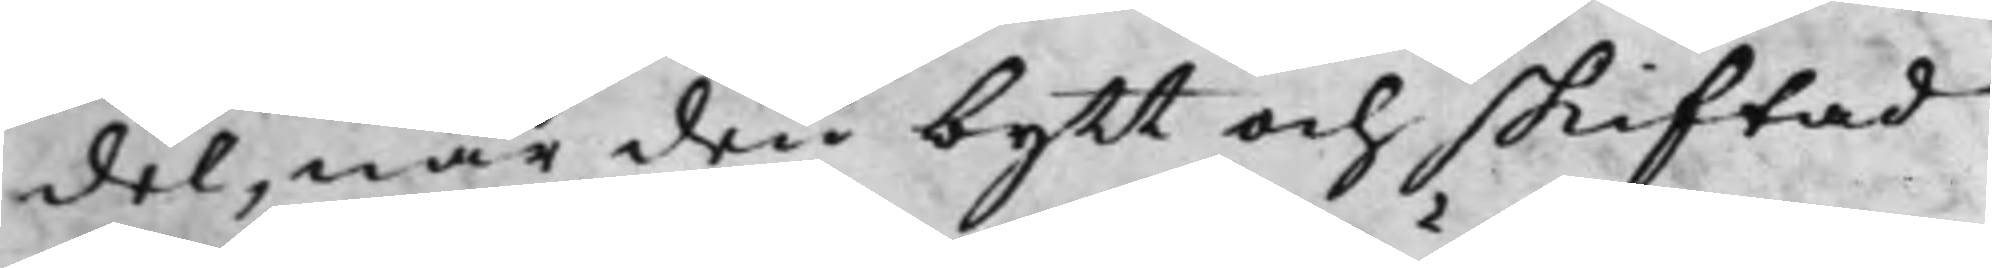del, när den bytt och skiftad
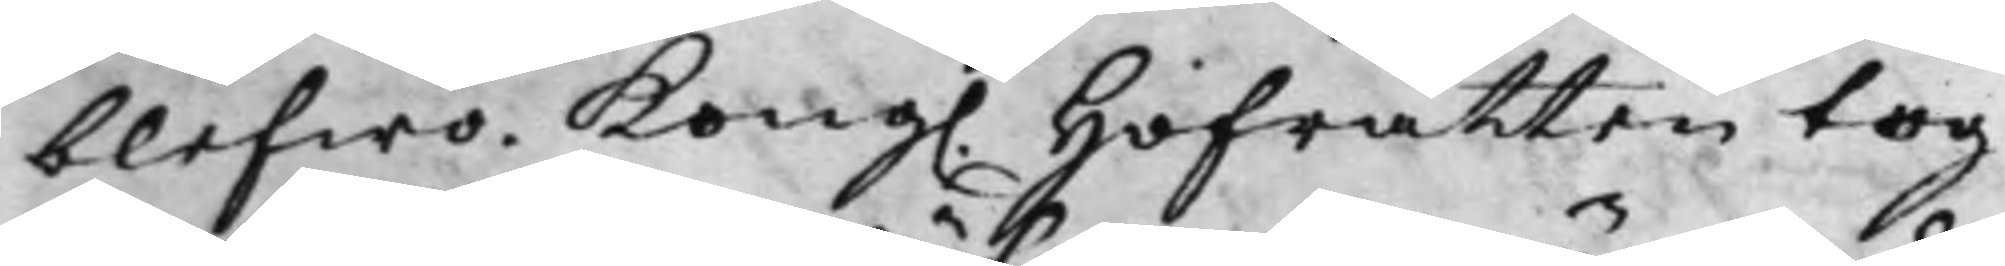blefwo. Kong. Hofrätten tog 
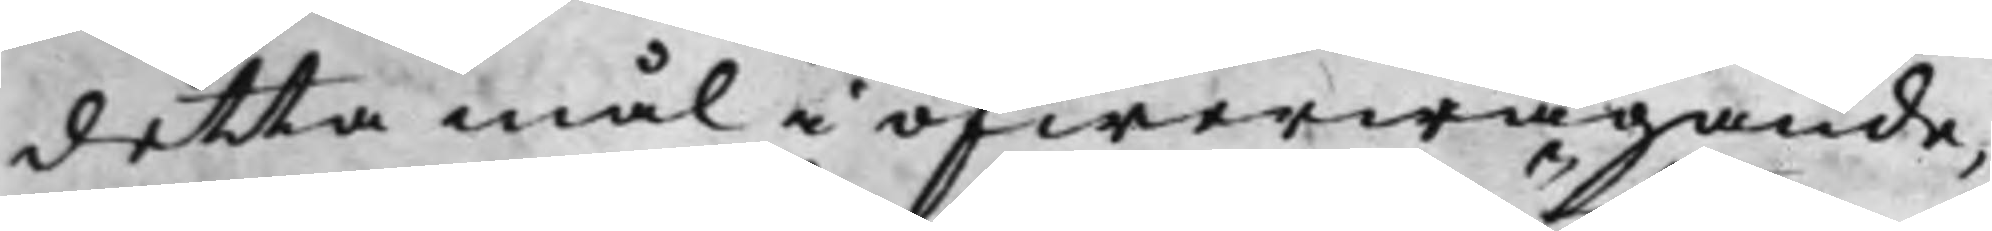detta mål i öfwerwägande,
